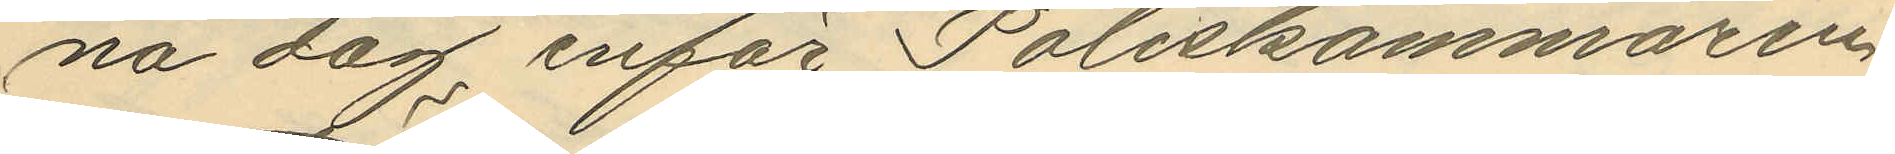na dag inför Poliskammaren
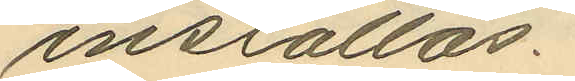inställas.
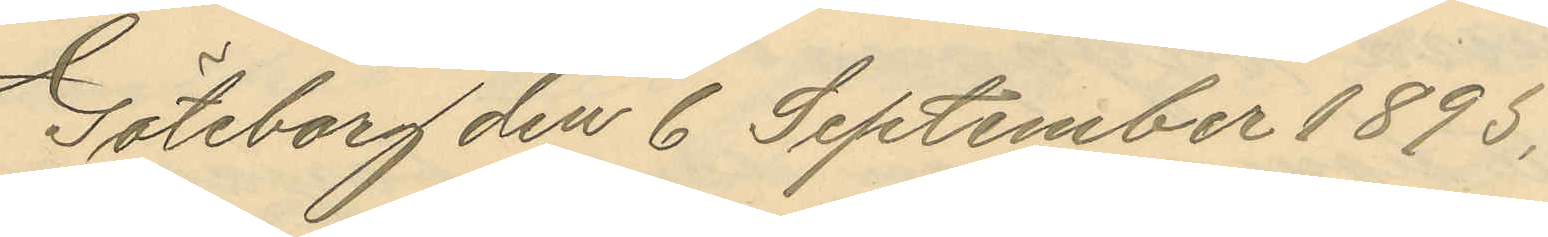Göteborg den 6 September 1895.
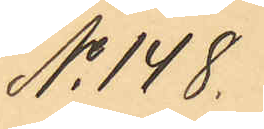No 148.
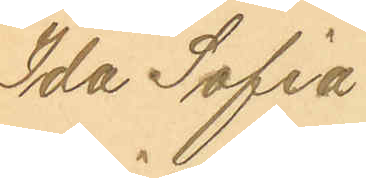Ida Sofia
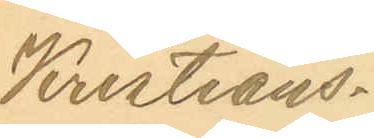Kristians¬
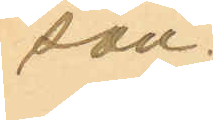son.
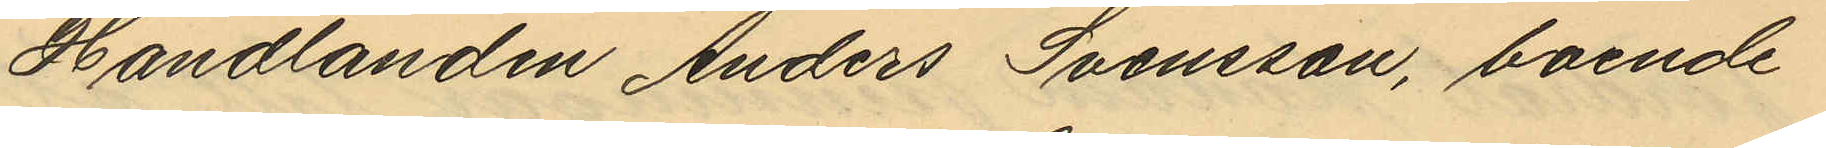Handlanden Anders Svensson, boende
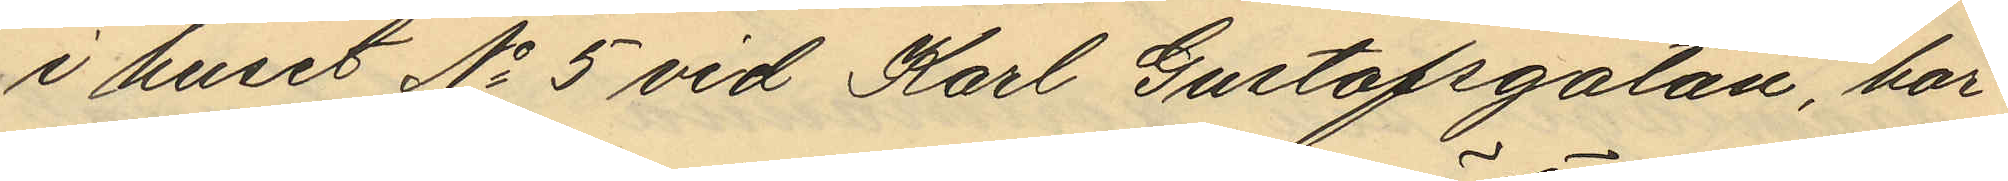i huset No 5 vid Karl Gustafsgatan, har
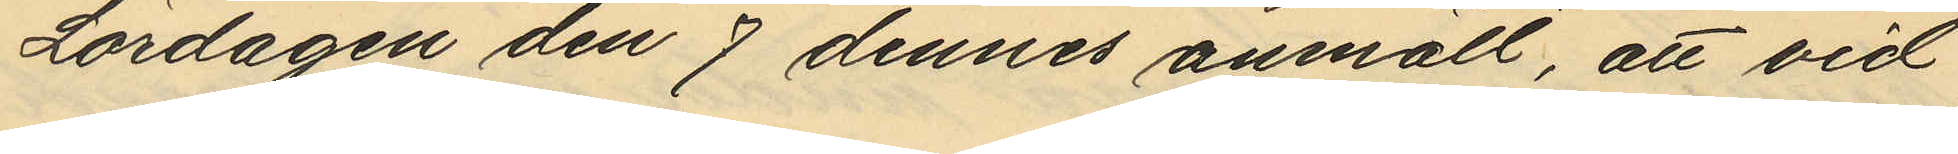Lördagen den 7 dennes anmält, att vid
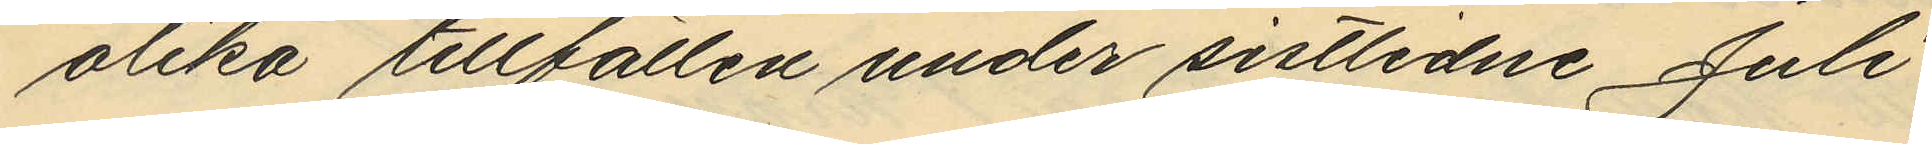olika tillfällen under sistlidne Juli
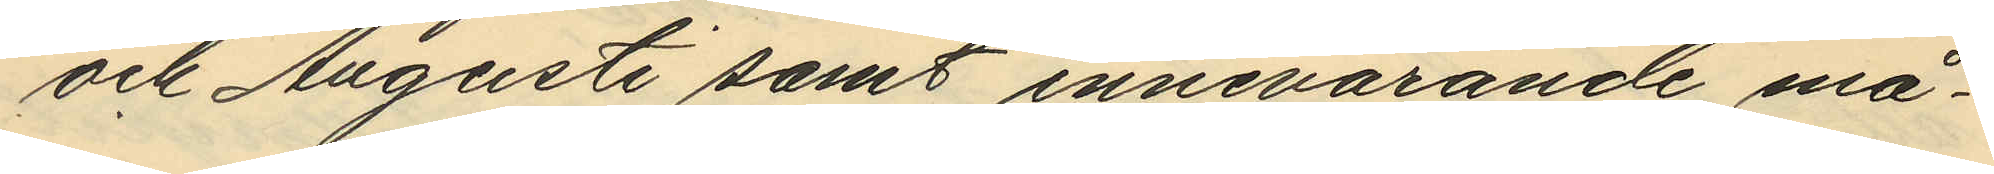och Augusti samt innevarande må¬
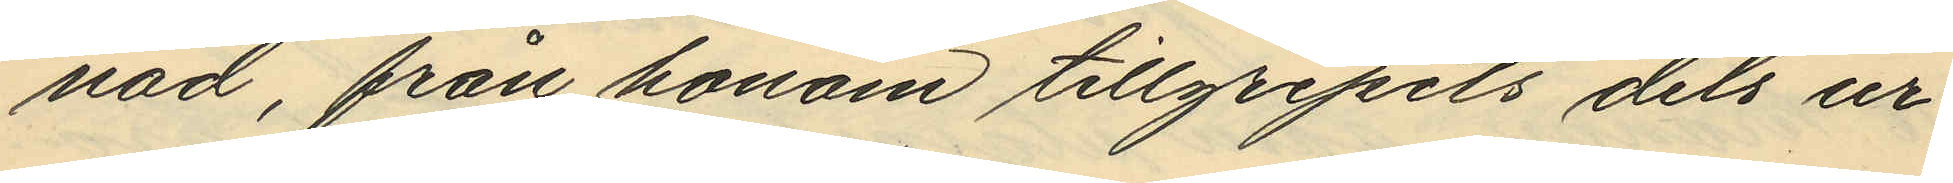nad, från honom tillgripits dels ur
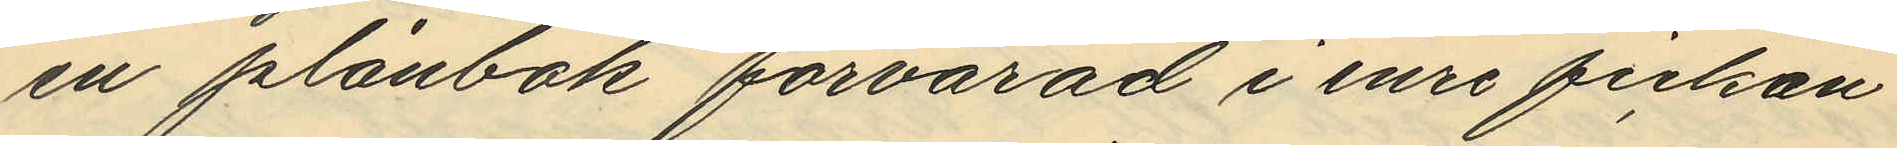en plånbok förvarad i inre fickan
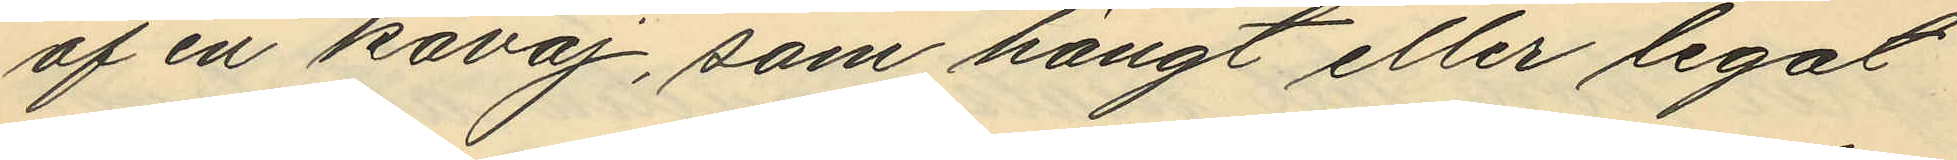af en kavaj, som hängt eller legat
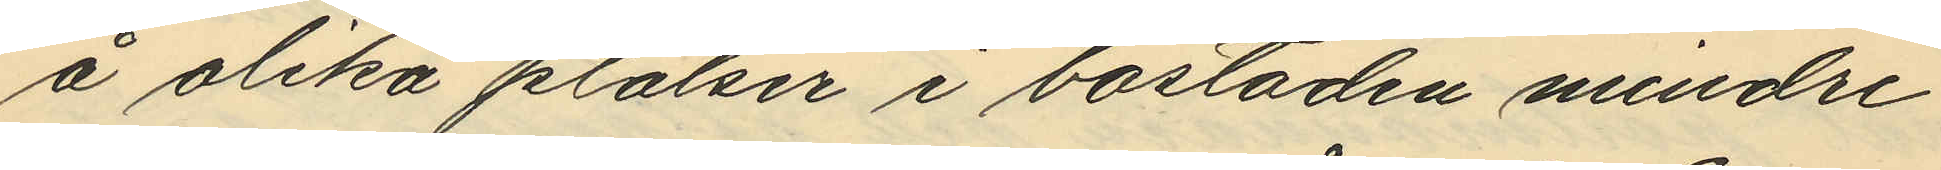å olika platser i bostaden mindre
